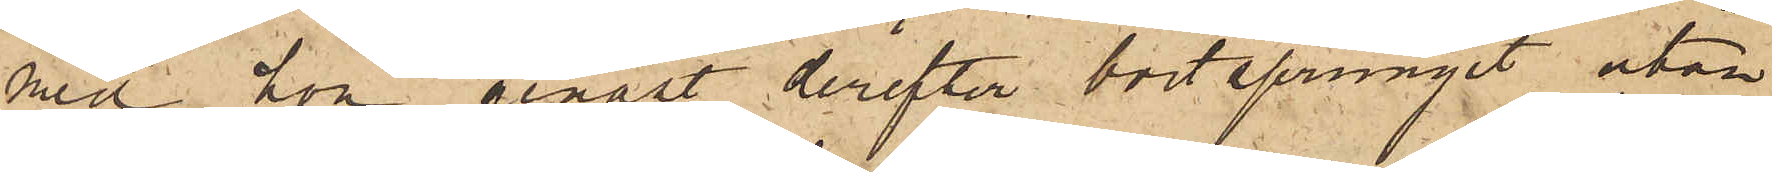med hon genast derefter bortsprungit utan
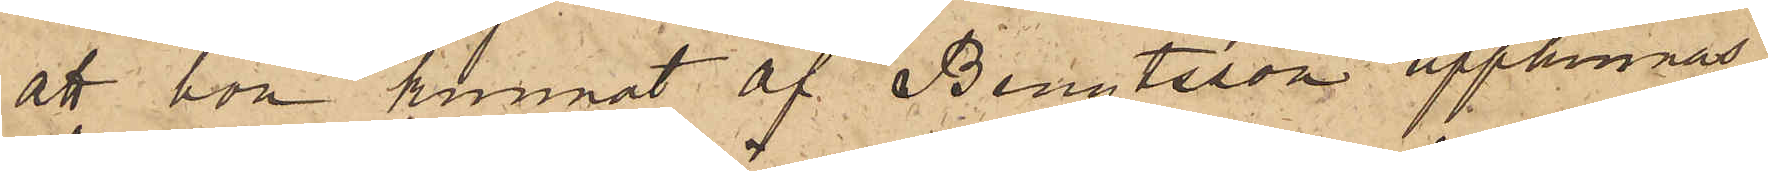att hon kunnat af Bengtsson upphinnas.
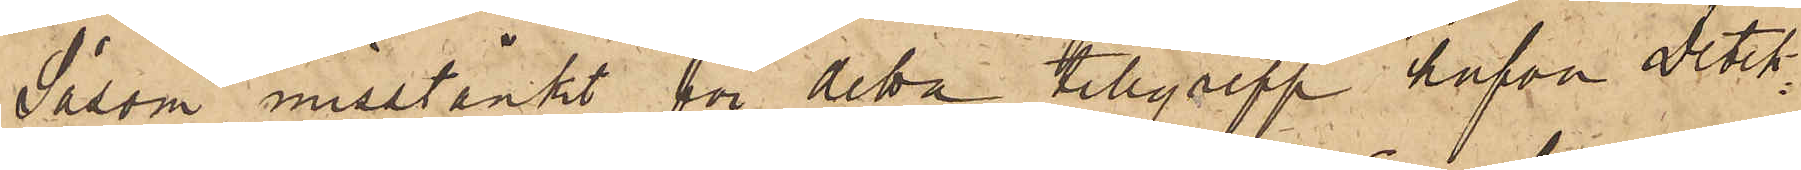Såsom misstänkt för detta tillgrepp hafva Detek¬
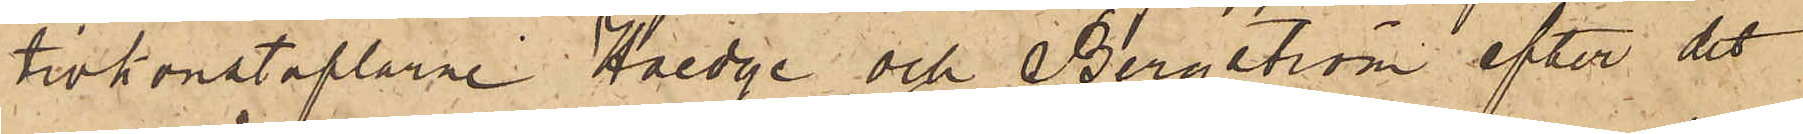tivkonstaplarne Haedge och Bergström efter det
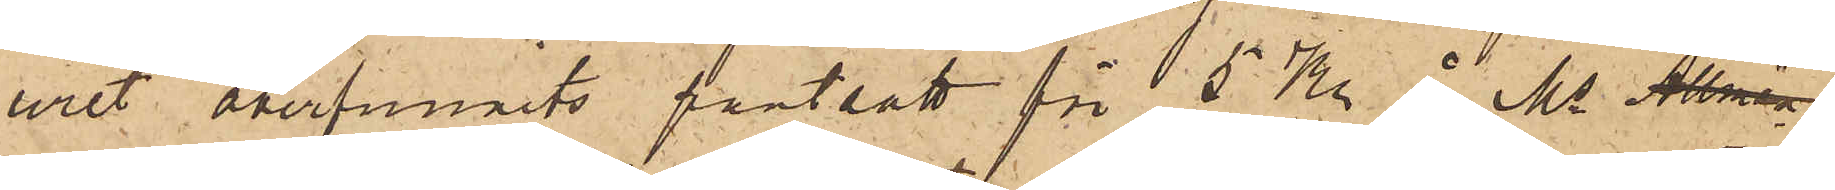uret återfunnits pantsatt för 5 Kr å Ms Allman
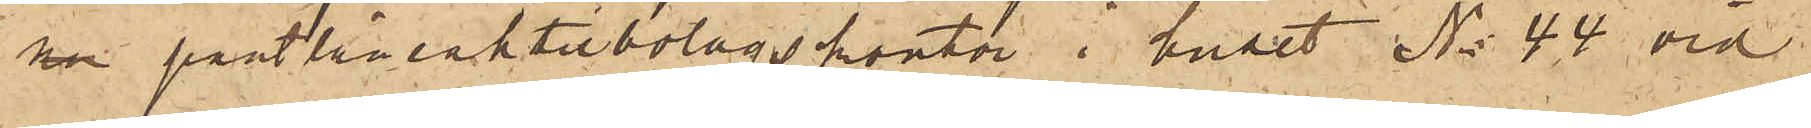ra pantlåneaktiebolags kontor i huset No 44 vid
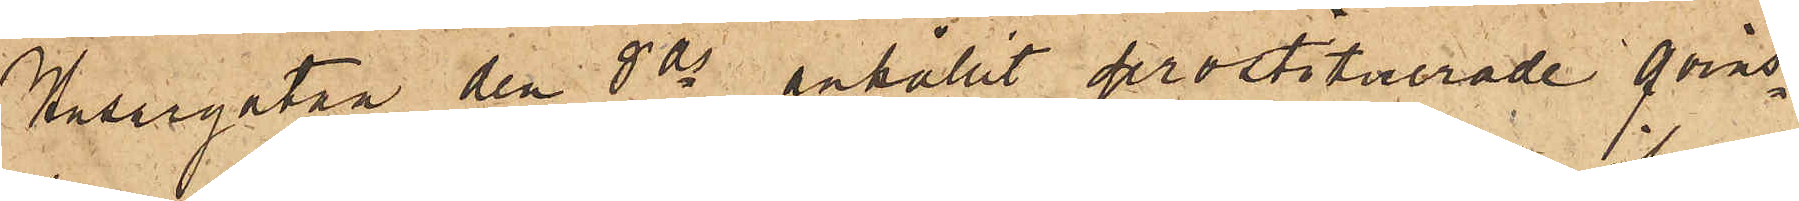Husargatan den 8 ds anhållit prostituerade qvins¬
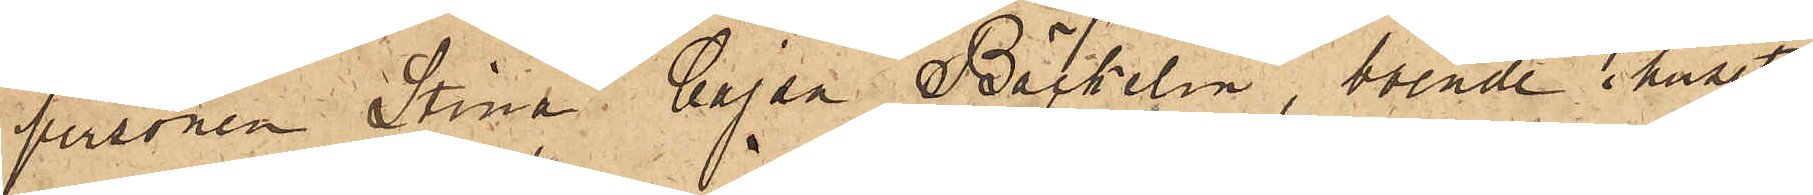personen Stina Kajsa Bäckelin, boende i huset
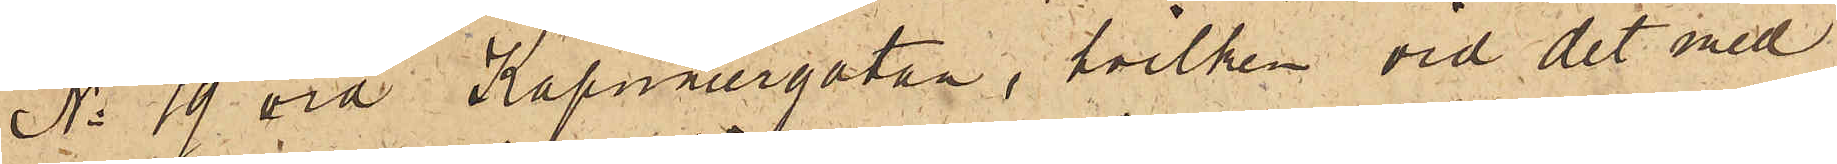No 19 vid Kapuniergatan, hvilken vid det med
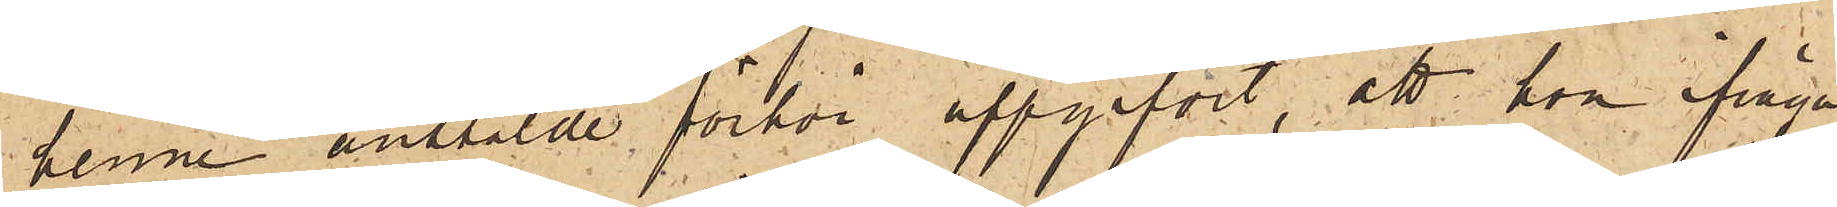henne anstälde förhör uppgifvit, att hon ifråga¬
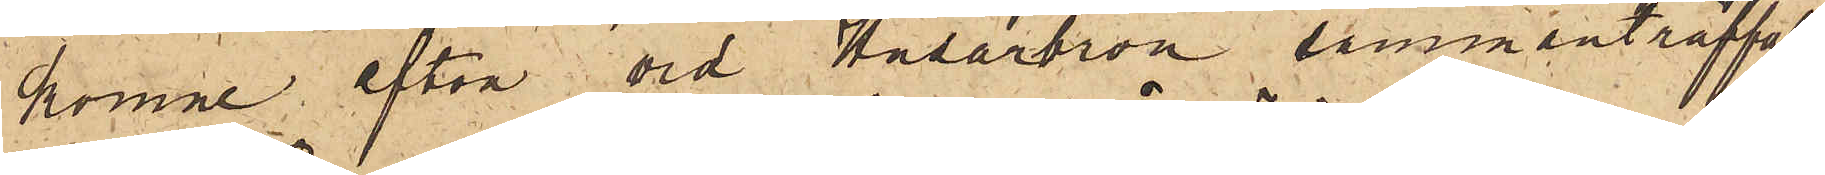komne afton vid Husarbron sammanträffat
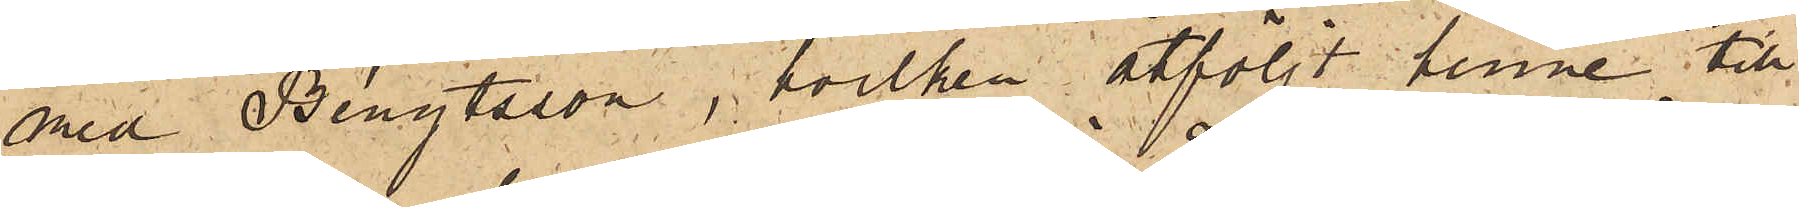med Bengtsson, hvilken åtföljt henne till
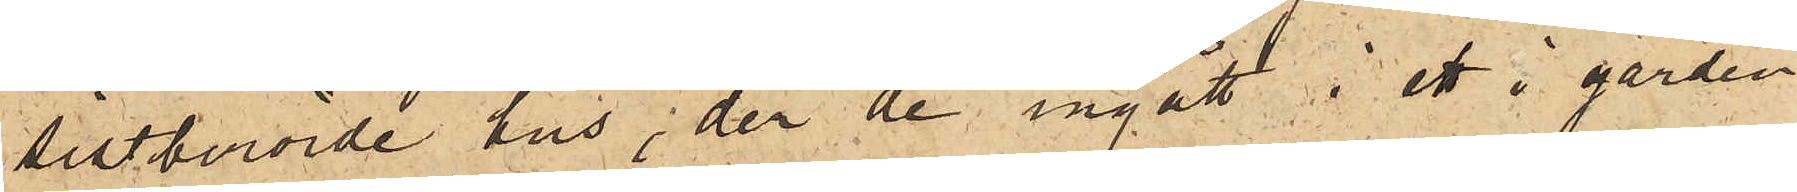sistberörde hus, der de ingått i ett å gården
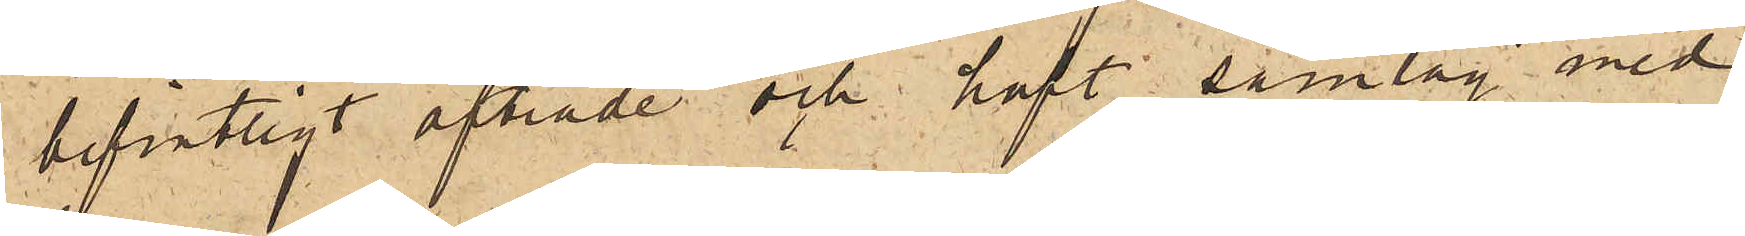befintligt afträde och haft samlag med
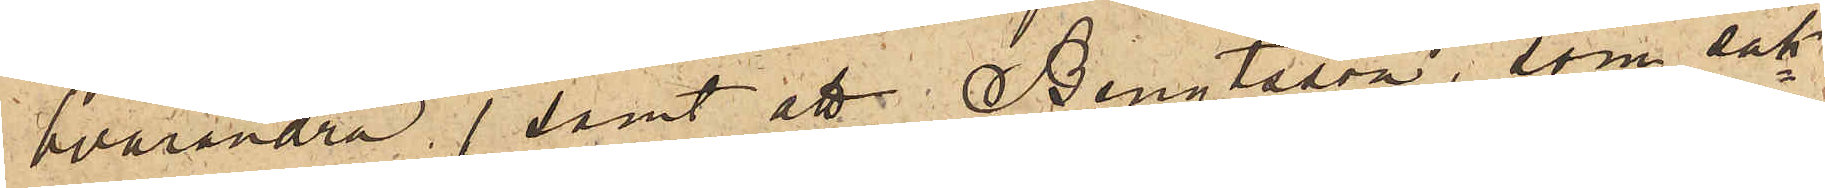hvarandra, samt att Bengtsson, som sak¬
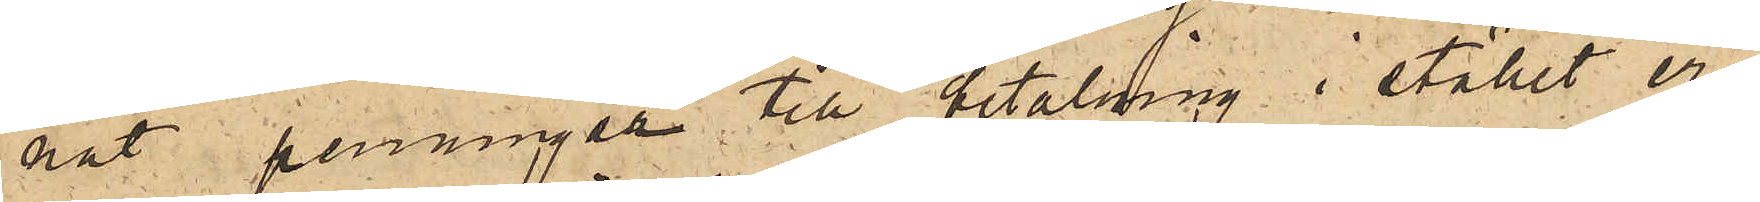nat penningar till betalning i stället er¬
